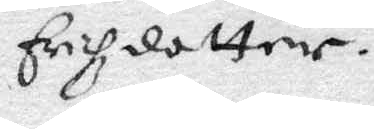Erichzdotter.
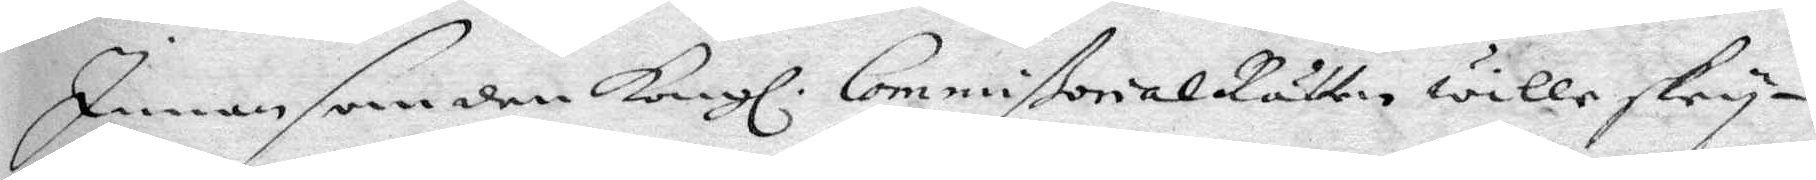Innan som den Kongl. CommißorialRätten wille skry¬
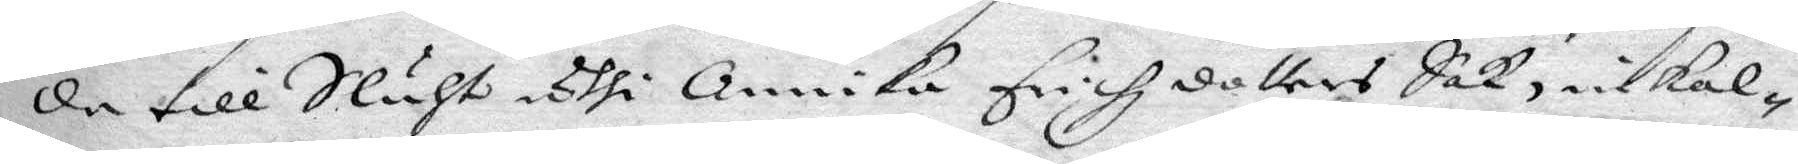da till Sluht uthi Annika Erichz dotters Sak, inkal¬
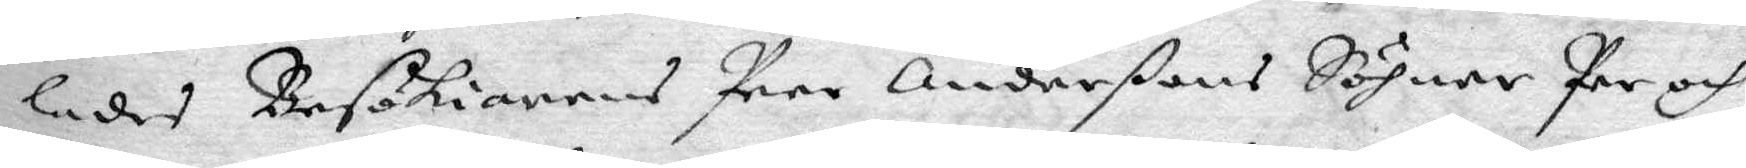lades Besökiarens Peer Anderßons Söhner Per och
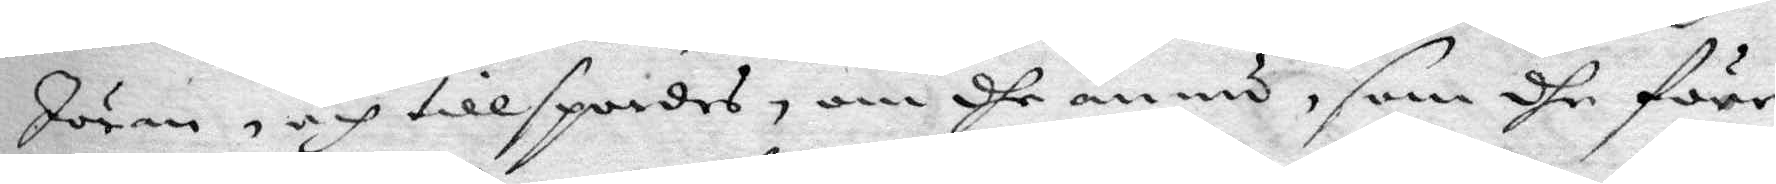Jöran, och tillspordes, om dhe ännu, som dhe förr
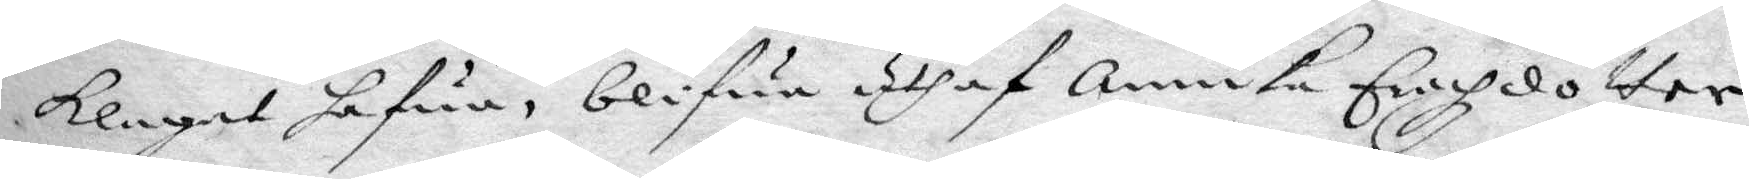klagat hafua, blifua uthaf Annika Erichzdotter
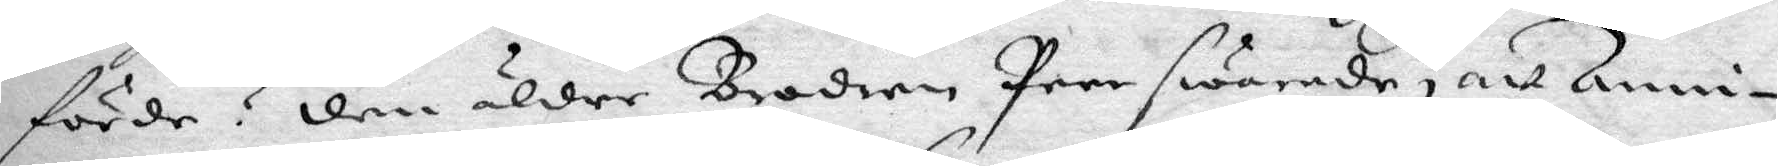förde? den äldre Brodern Per swarade, att Anni¬
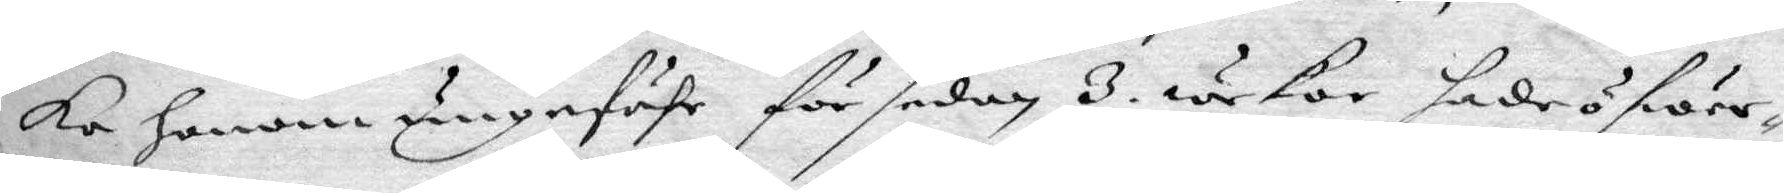ka honom ungefähr för sedan 3. wekor hade fwer¬
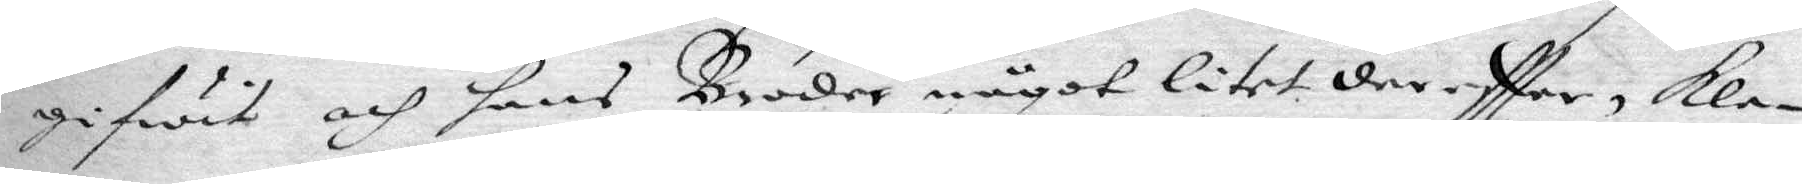gifwit och hans Broder något litet dereftter, kla¬
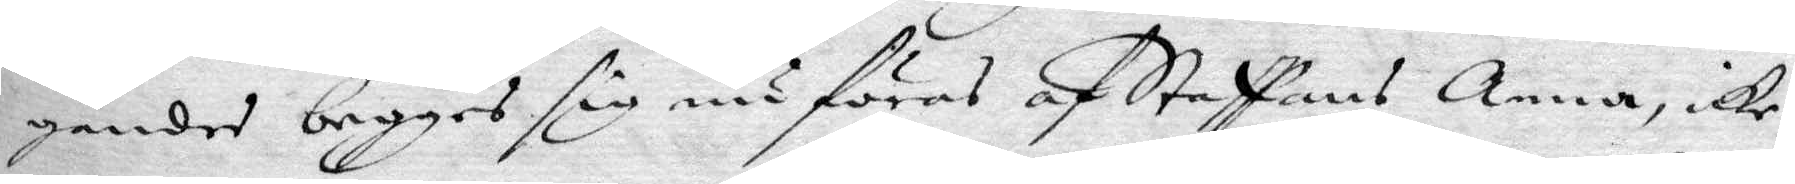gandes begge sig nu föras af Staffans Anna, icke
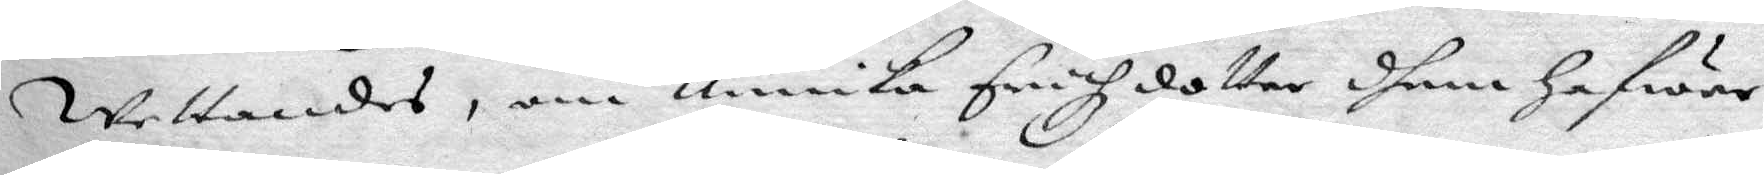Wettandes, om Annika Erichzdotter dhem hafwer
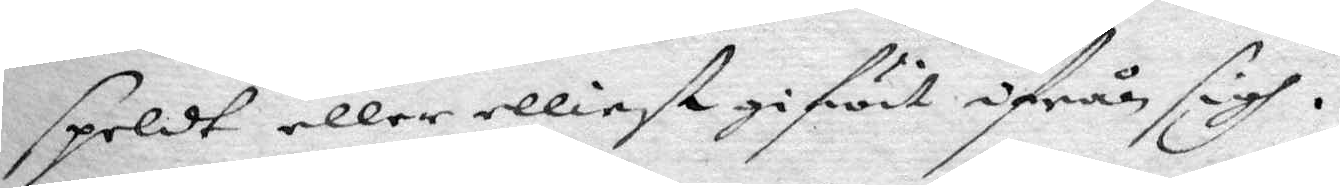speldt eller elliest gifwit ifrån sigh.
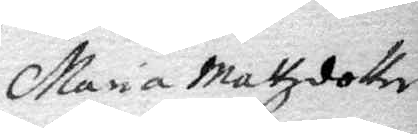Maria Mattzdotter
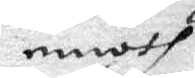emoth
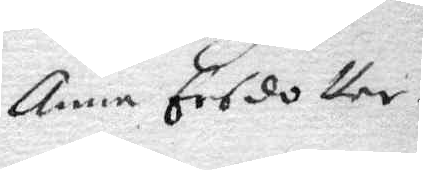Anna Ersdotter.
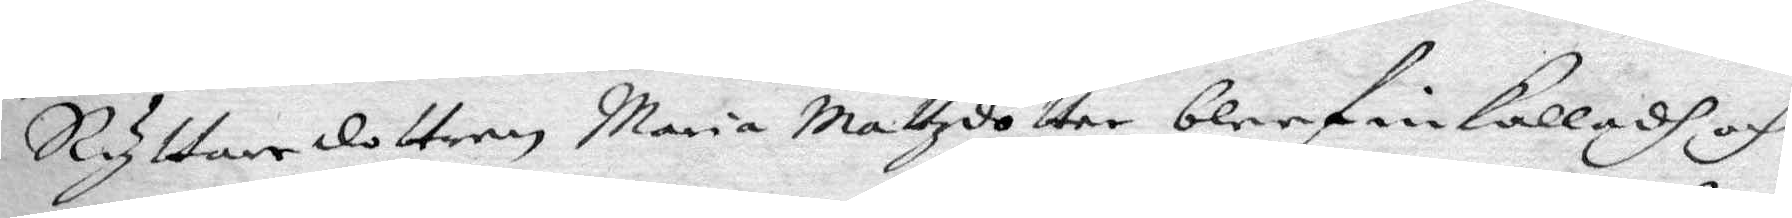Ryttaredottren Maria Mattzdotter bleef inkalladt och
